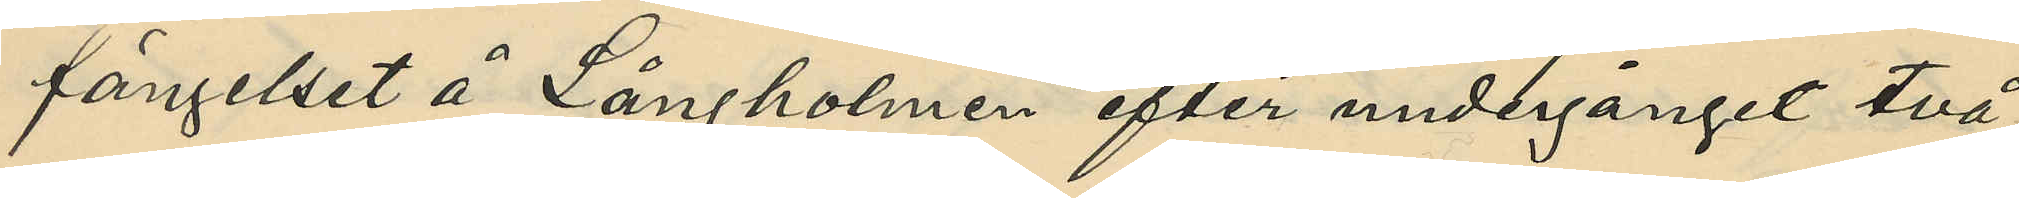fängelset å Långholmen efter undergånget två
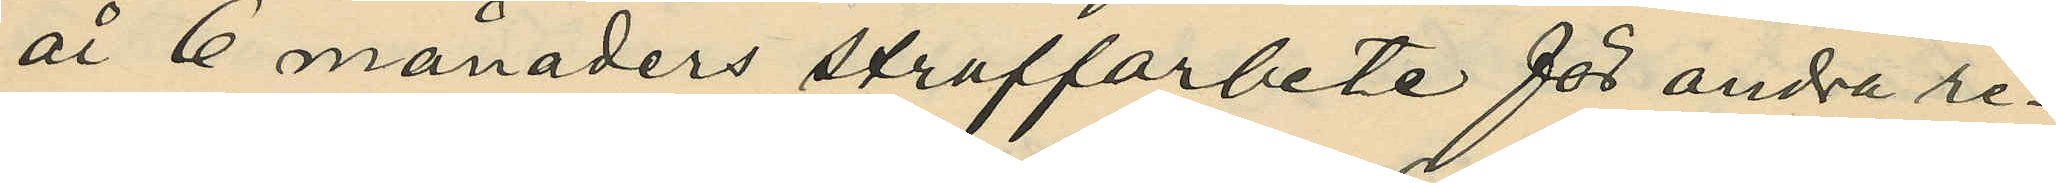år 6 månaders straffarbete för andra re¬
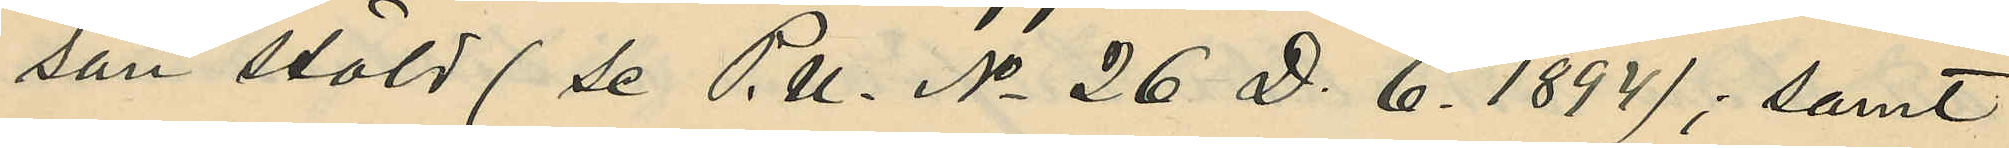san stöld (se P.U. No 26 D. 6. 1894); samt
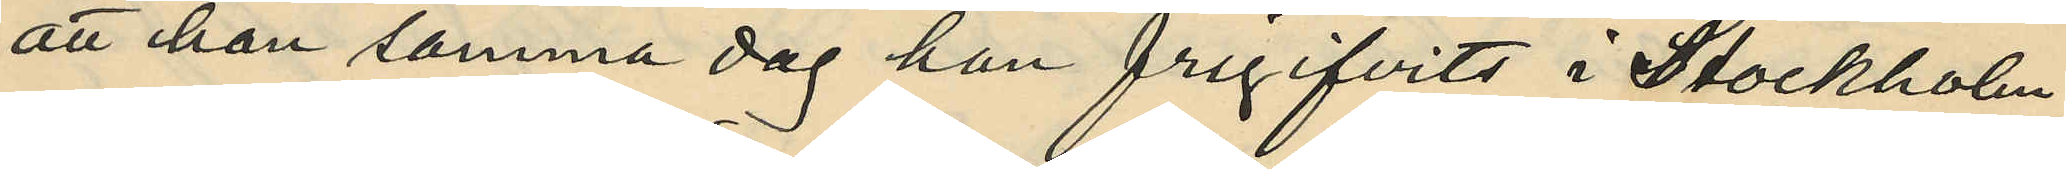att han samma dag han frigifvits i Stockholm
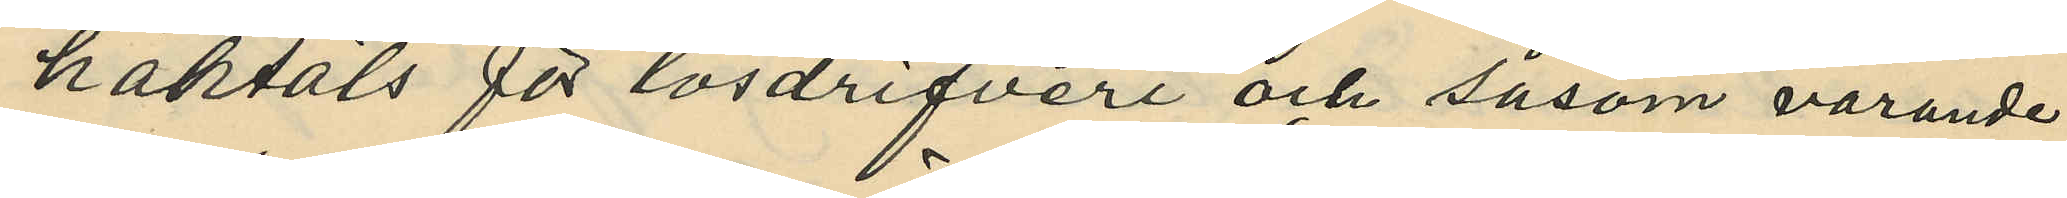häktats för lösdrifveri och såsom varande
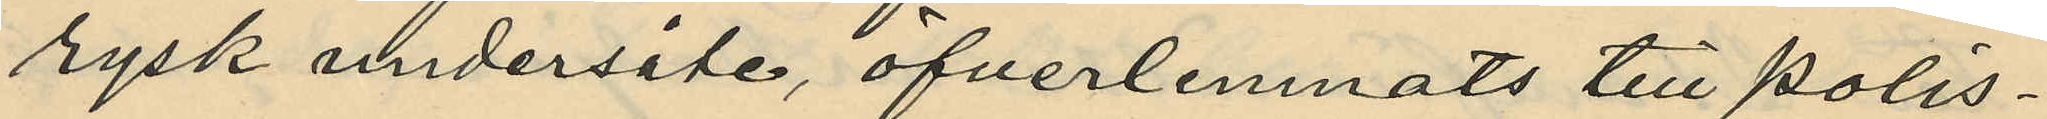rysk undersåte, öfverlemnats till Polis¬
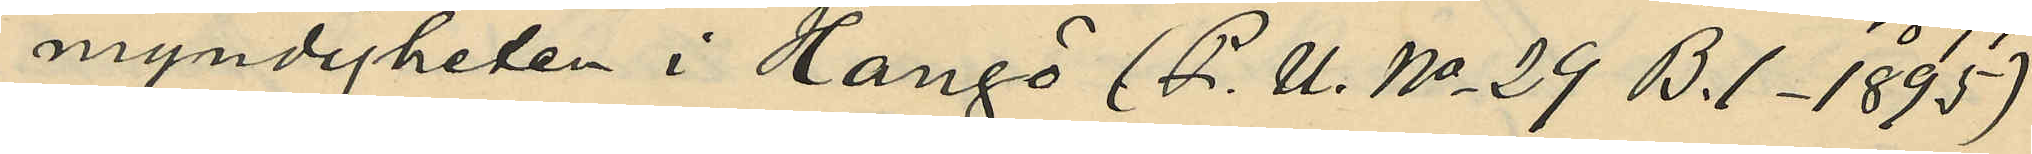myndigheten i Hangö (P. U. No 29 B. 1. 1895).
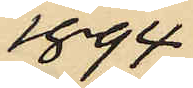1894
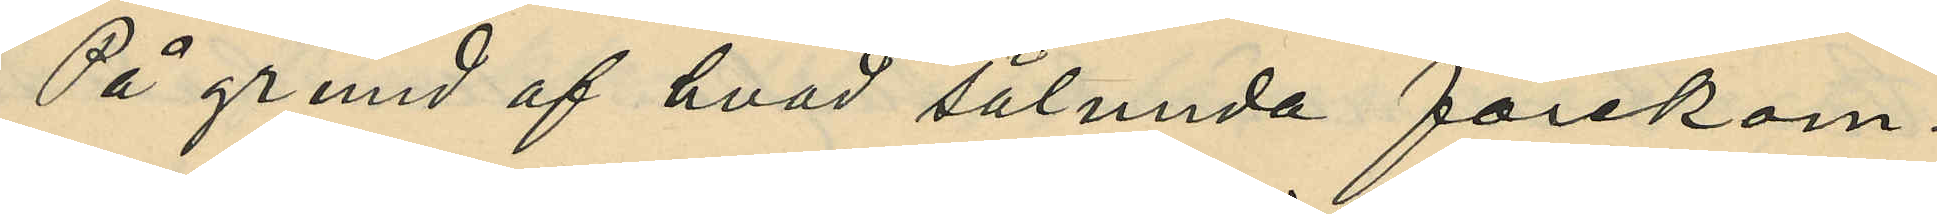På grund af hvad sålunda förekom¬
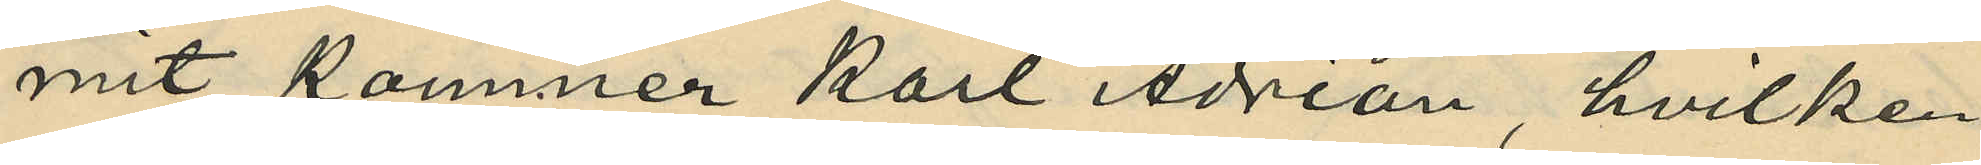mit, kommer Karl Adrian, hvilken
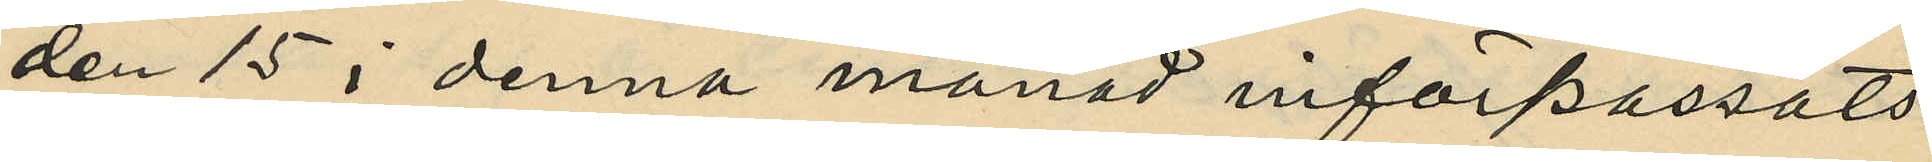den 15 i denna månad införpassats
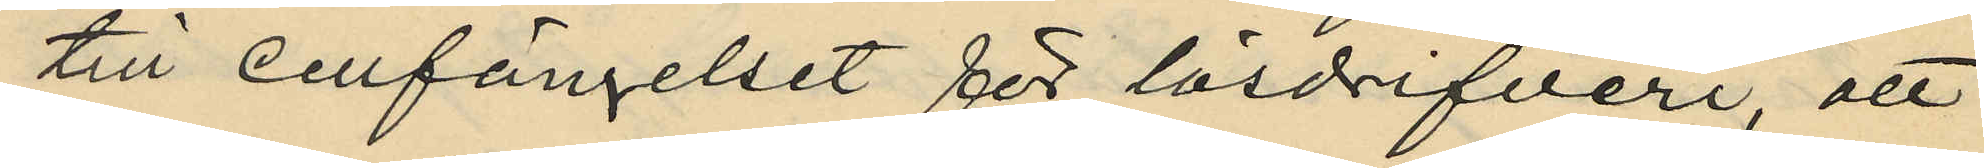till cellfängelset för lösdrifveri, att
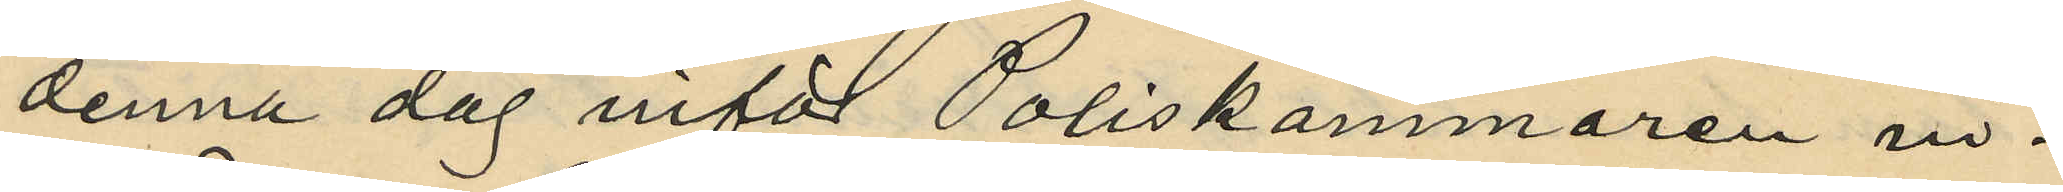denna dag inför Poliskammaren in¬
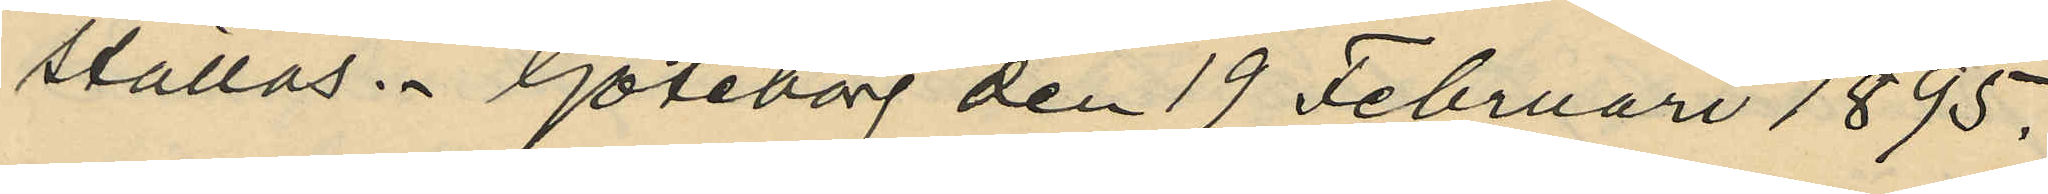ställas. Göteborg den 19 Februari 1895.
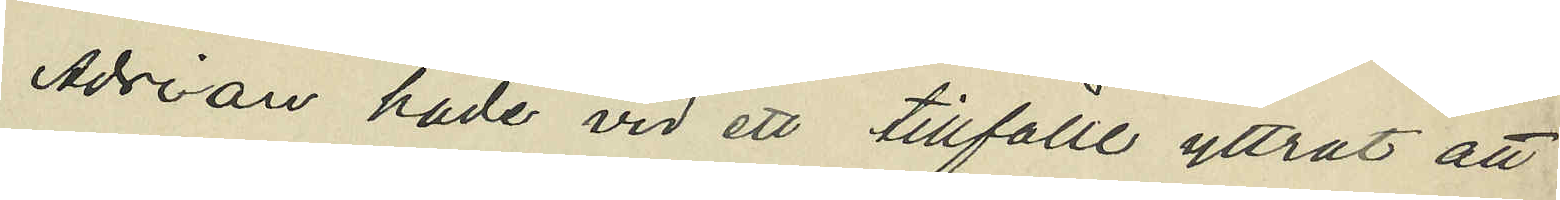Adrian hade vid ett tillfälle yttrat att
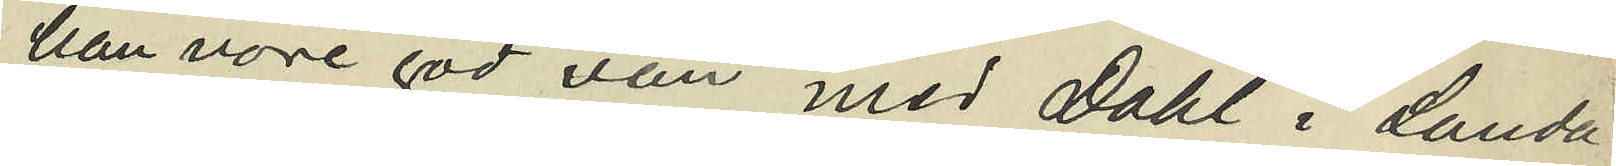han vore god vän med Dahl i Landa¬
